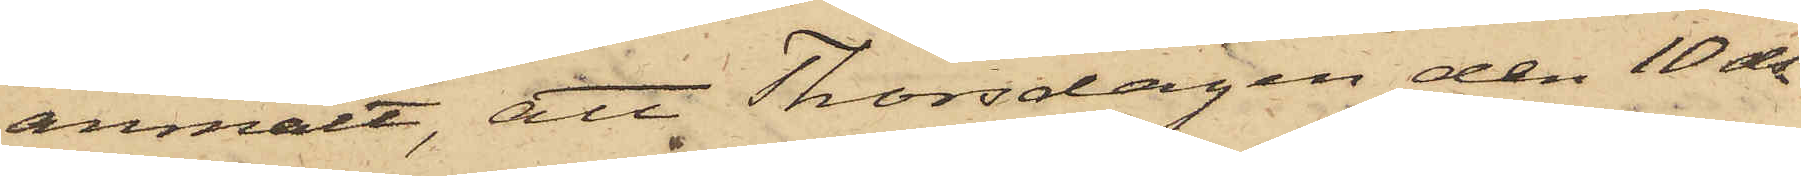anmält, att Thorsdagen den 10 ds
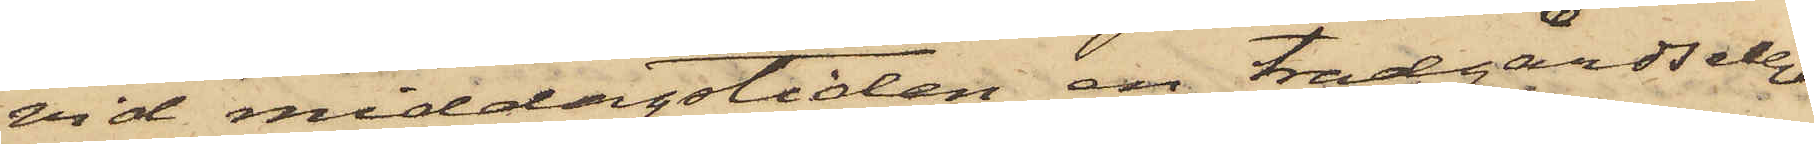vid middagstiden en trädgårdselev
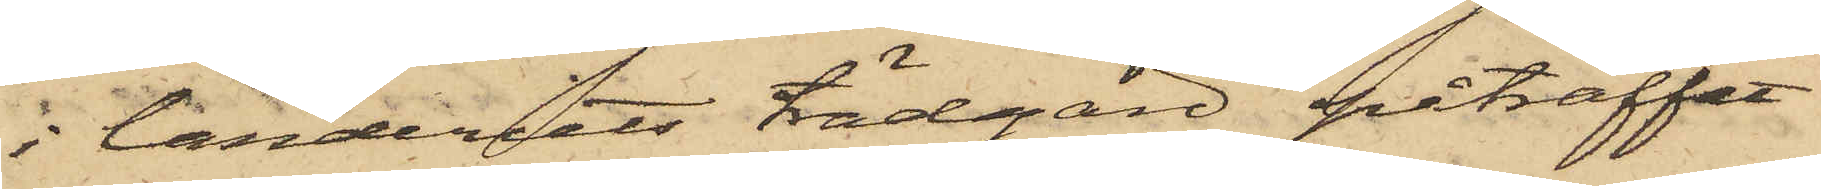i landeriets trädgård påträffat
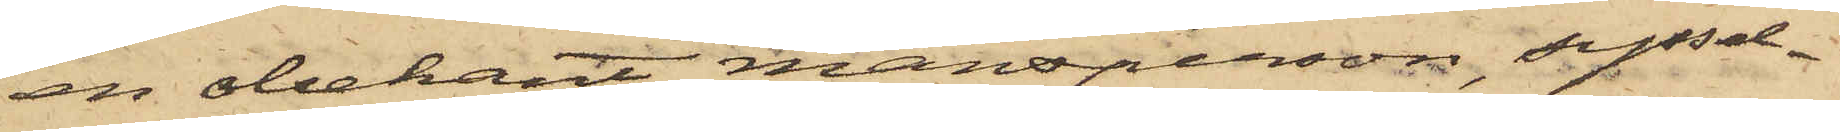en obekant mansperson, syssel¬
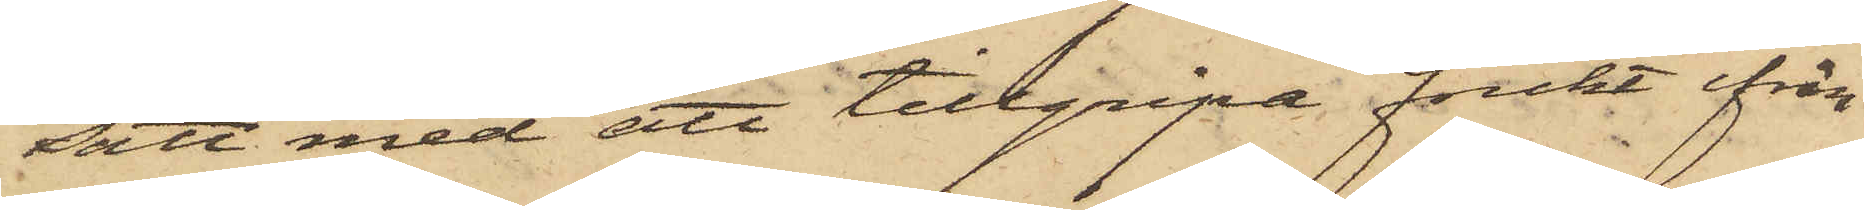satt med att tillgripa frukt ifrån
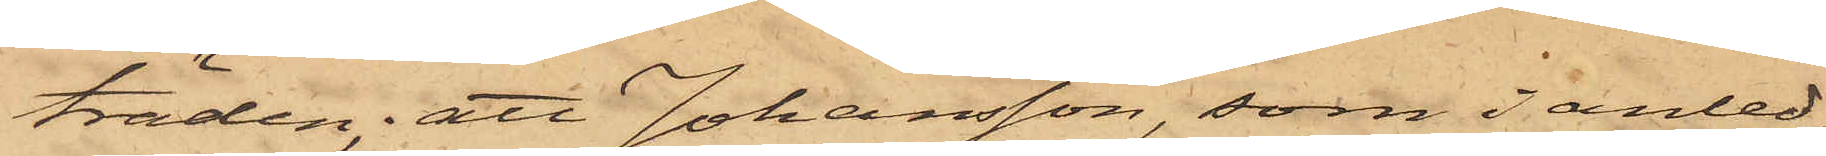träden; att Johansson, som i anled¬
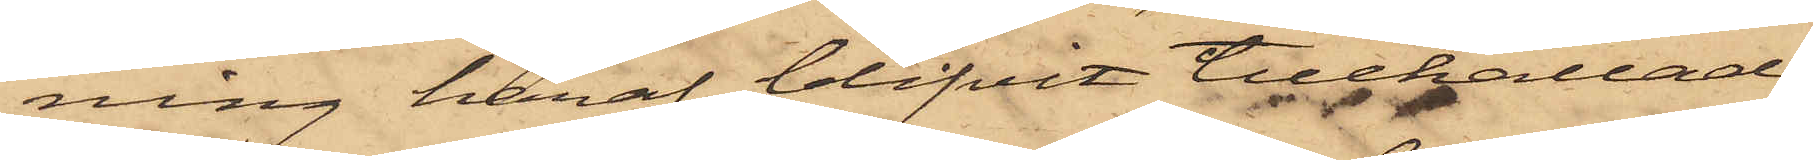ning häraf blifvit tillkallad,
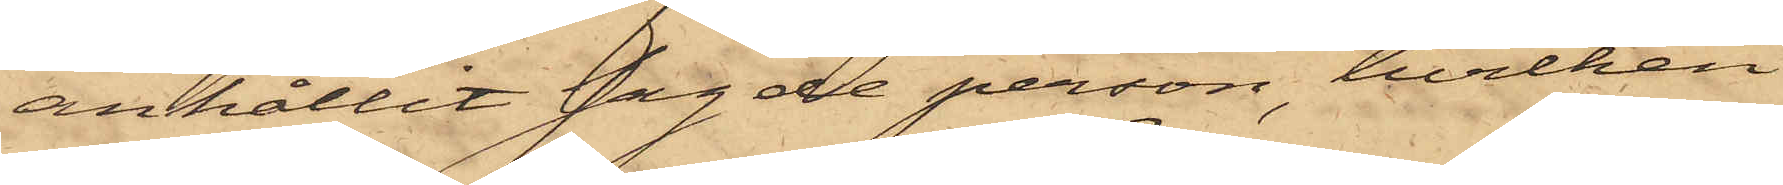anhållit sagde person, hvilken
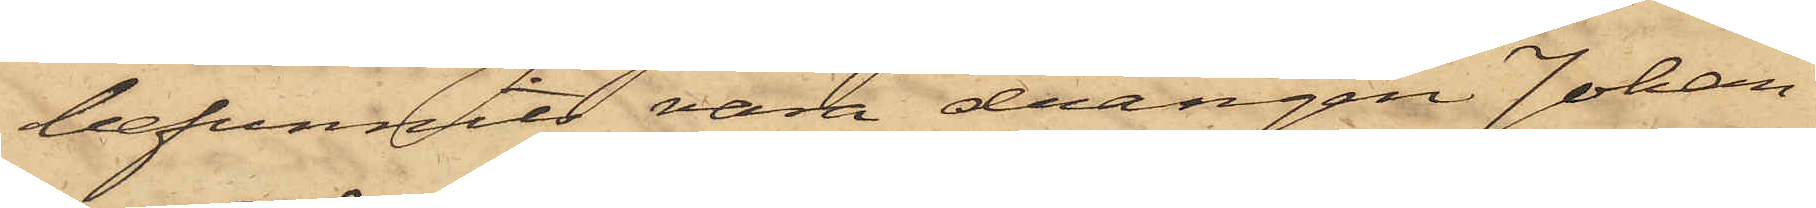befunnits vara drängen Johan¬
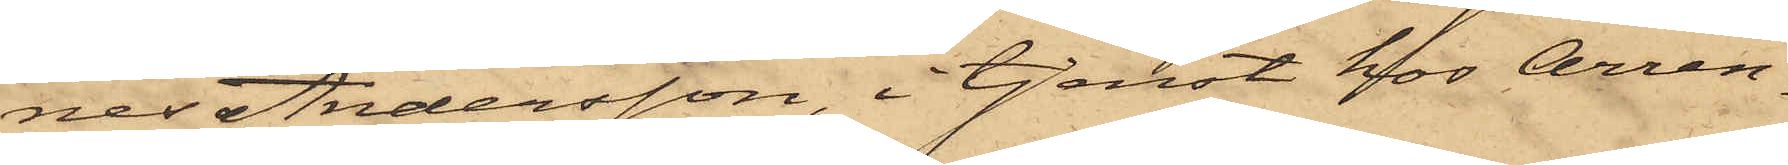nes Andersson, i tjenst hos Arren¬
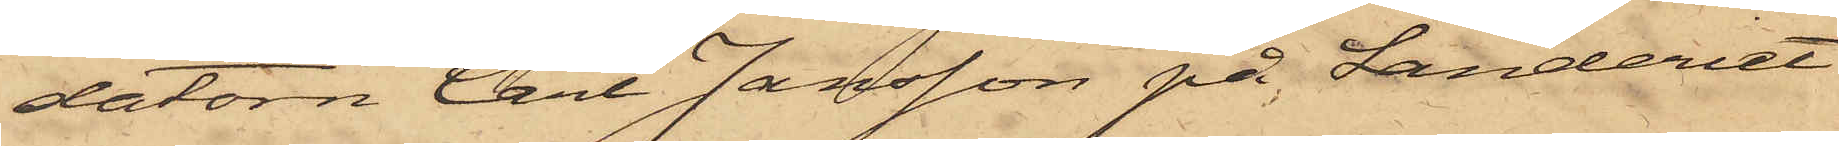datorn Carl Jansson på Landeriet
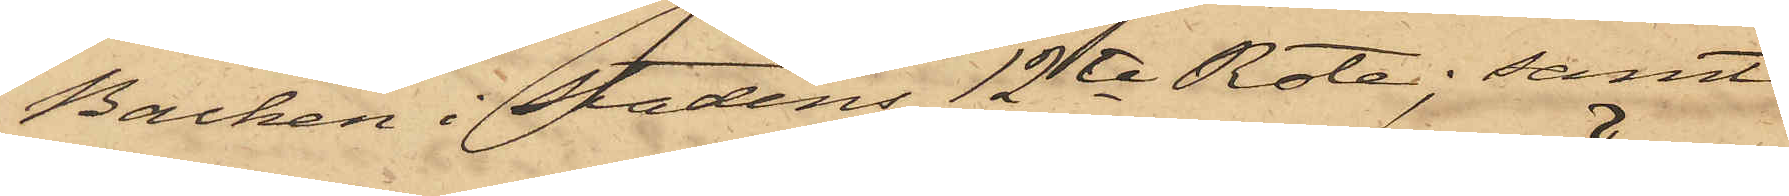Backen i Stadens 12te Rote; samt
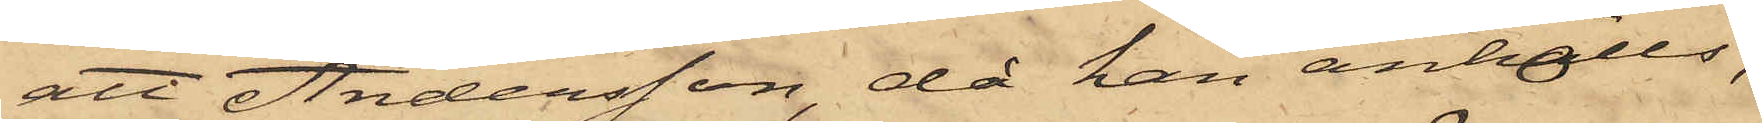att Andersson, då han anhölls,
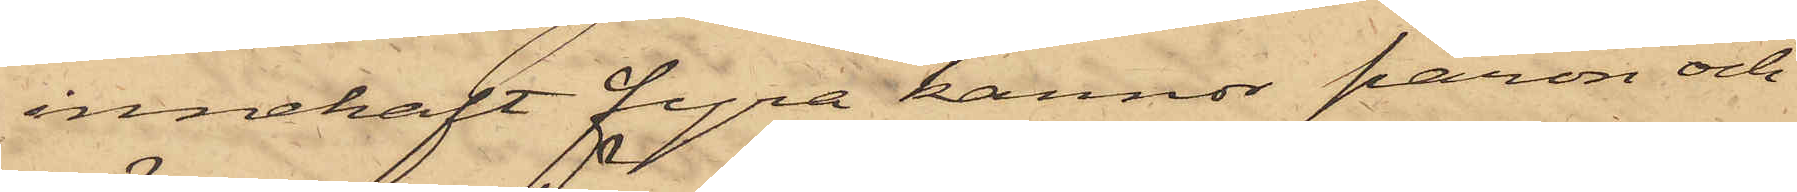innehaft fyra kannor päron och
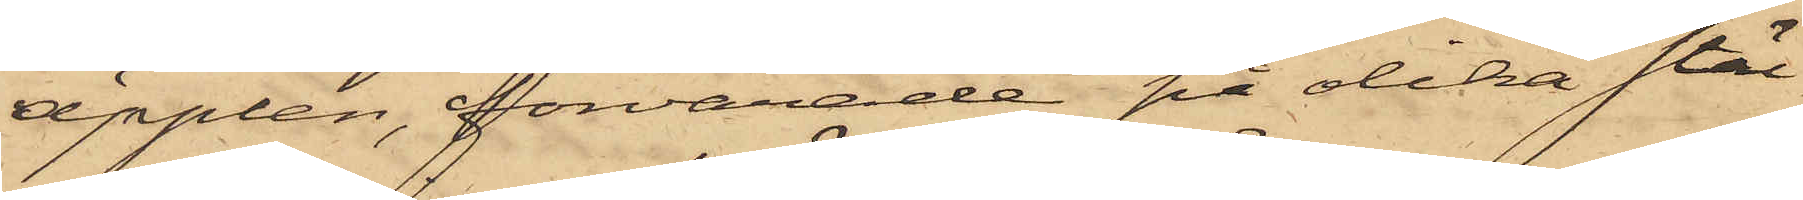äpplen, förvarade på olika stäl¬
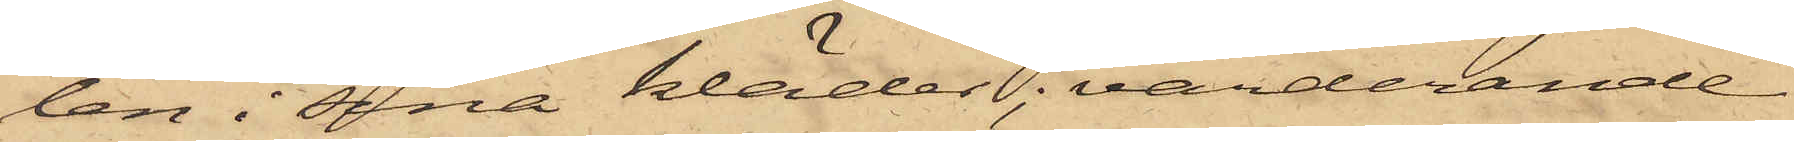len i sina kläder, värderande
